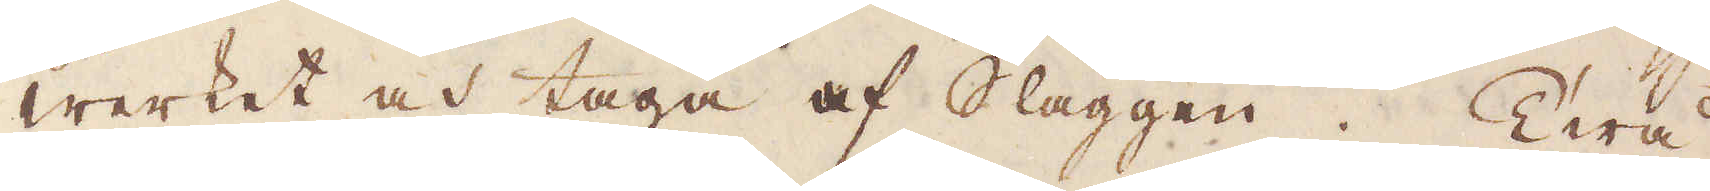werket och taga af Slaggen. Twå
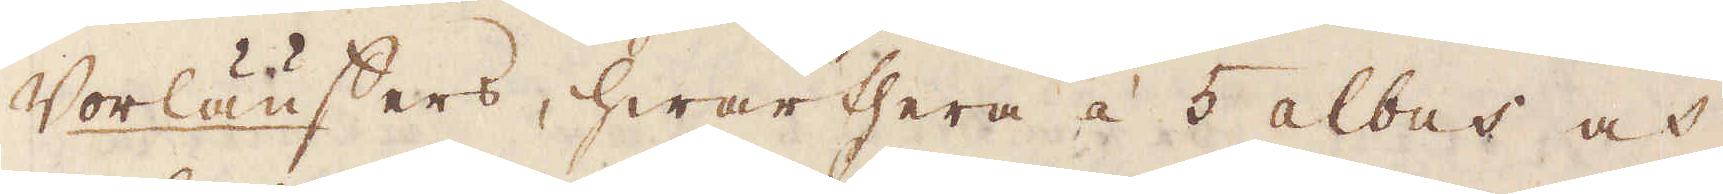Vorläuffers, hwarthera á 5 albus och
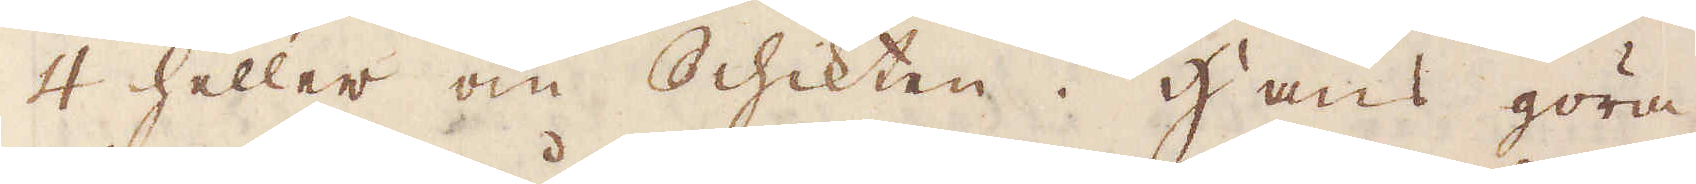4 heller om Schikten. Hans göra
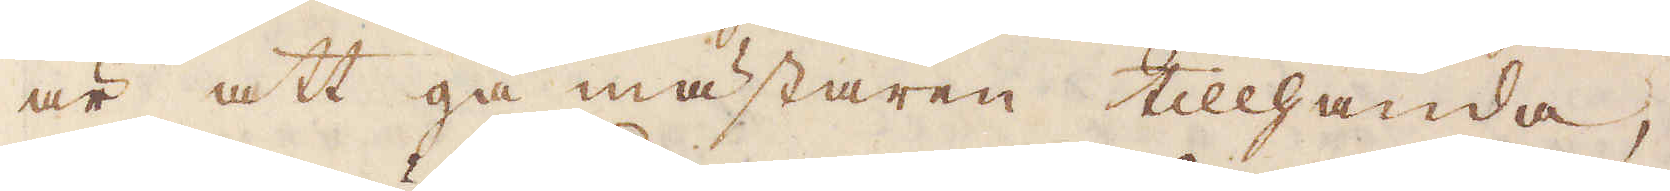är att gå mästaren tillhanda,
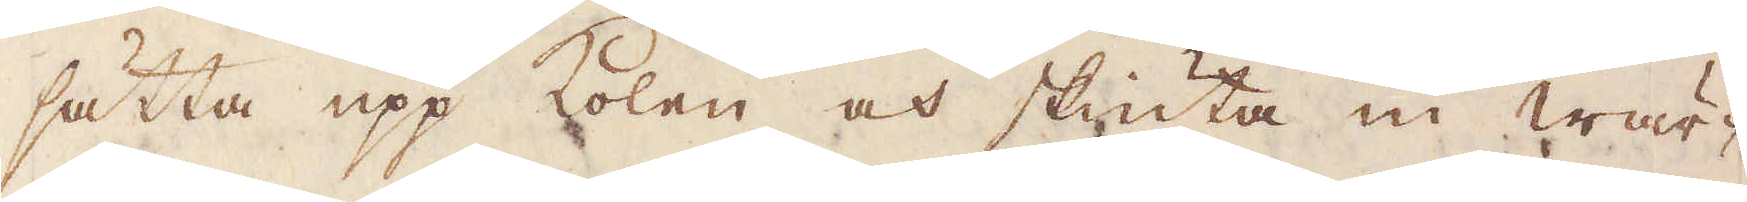sätta upp kolen och skiuta in wär-
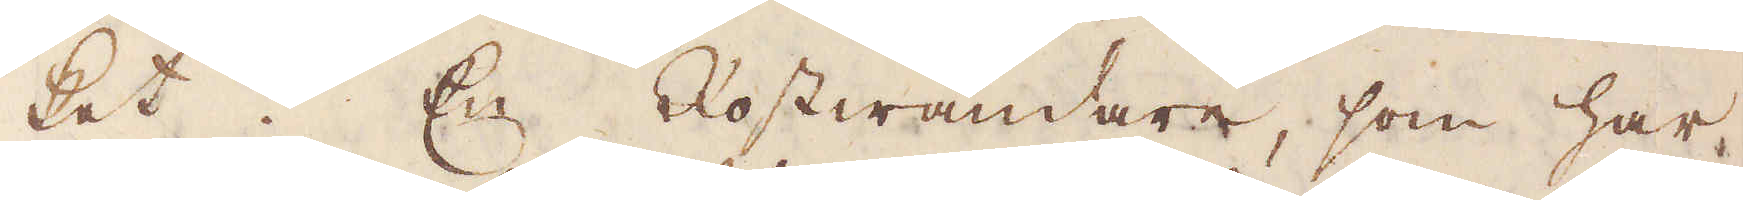ket. En Rostwändare, som har
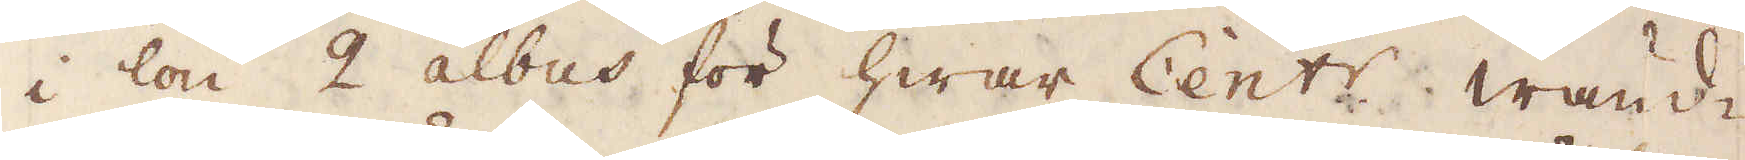i lön 2 albus för hwar Cent:r waud-
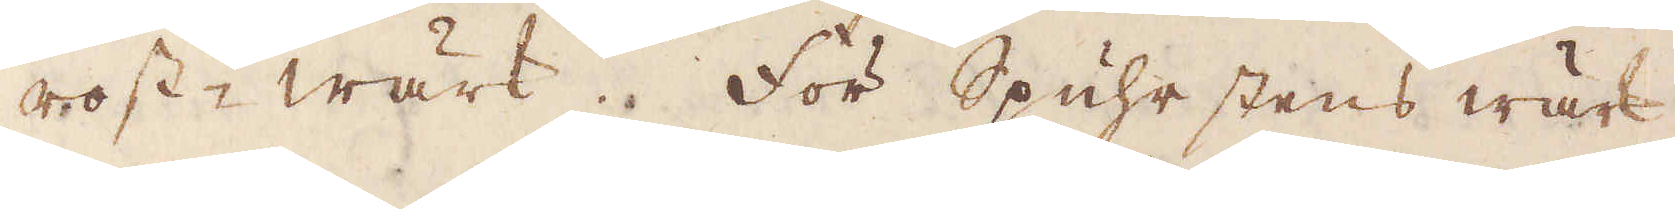rost-wärk. För Spuhrstens wärk
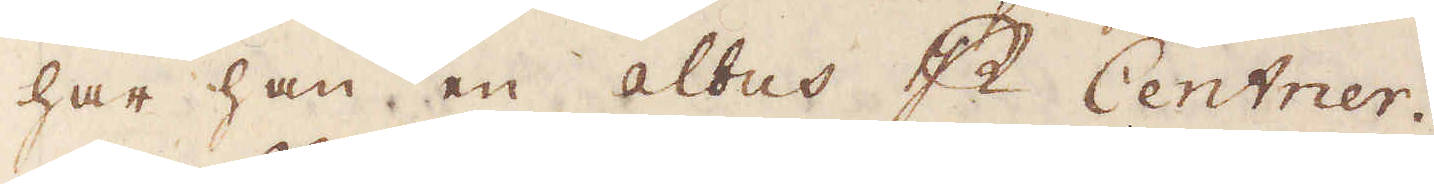har han en Albus p Centrer.
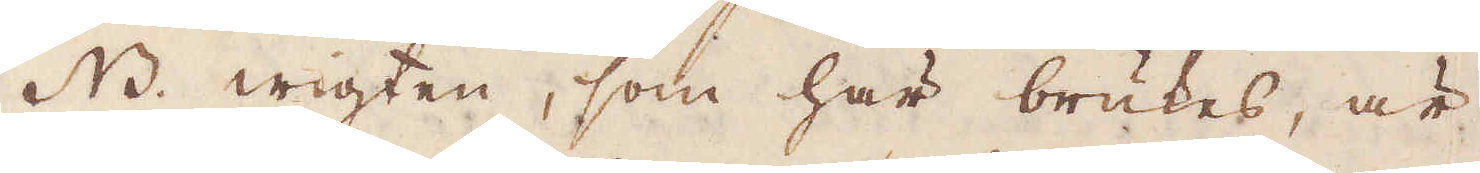NB. wigten, som här brukes, är
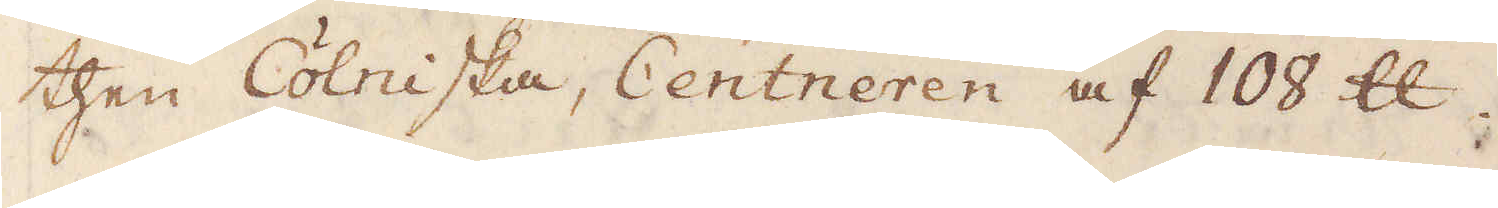then Colniska, Centneren af 108 skålpund.
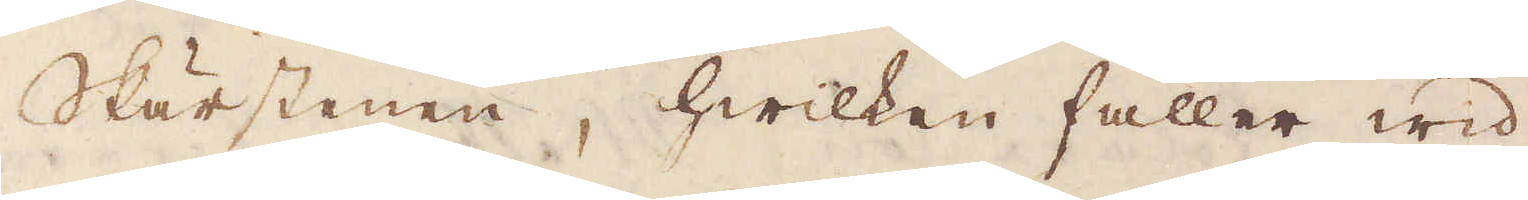Skärstenen, hwilken faller wid
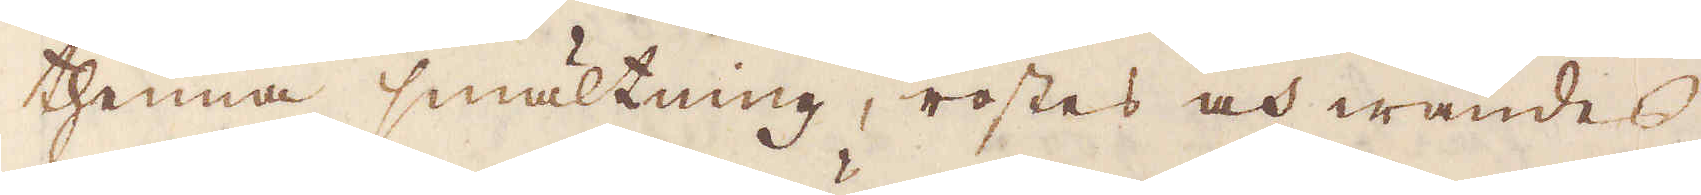thenna smältning, rostes och wändes
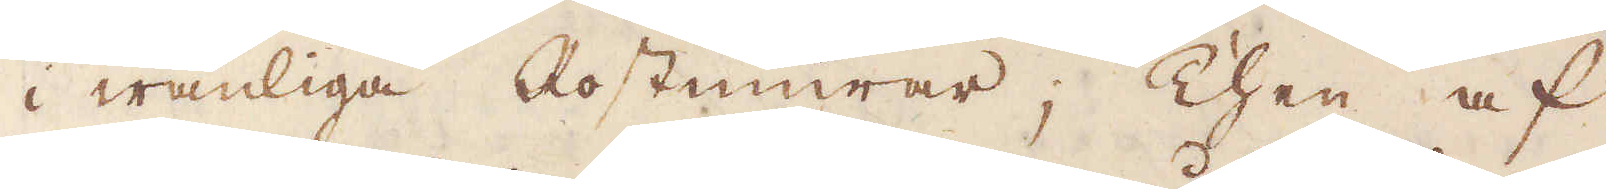i wanliga Rostmurar; Then af
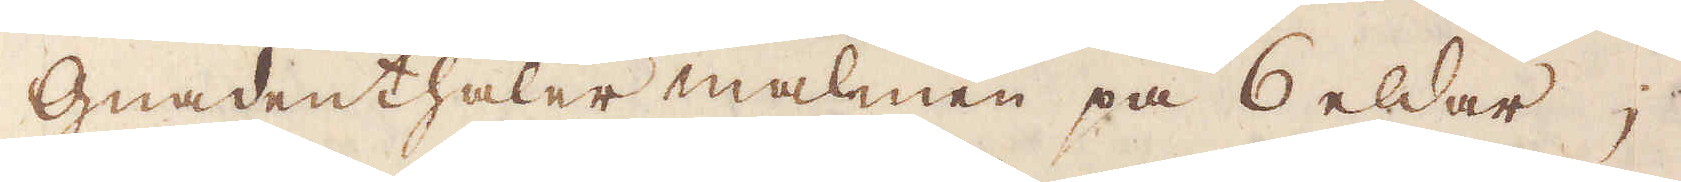Gnadenthaler malmen på 6 eldar
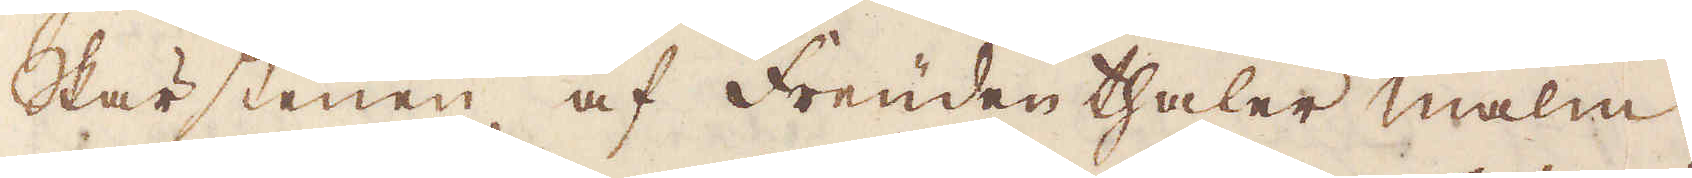Skärstenen af Freündethaler malm
